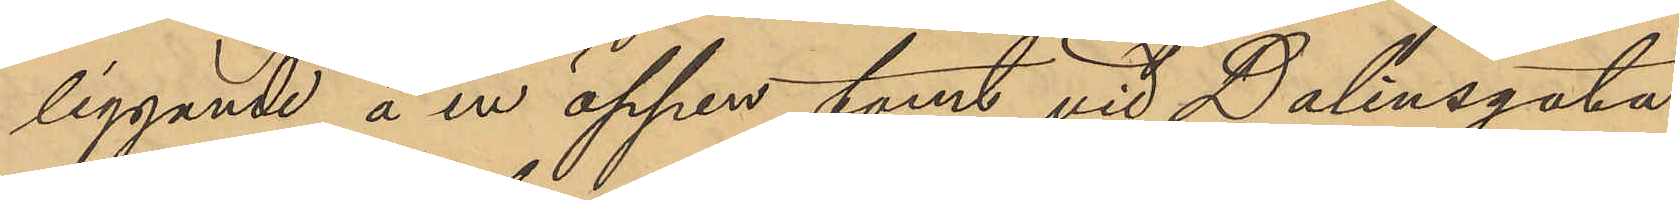liggande å en öppen tomt vid Dalinsgata
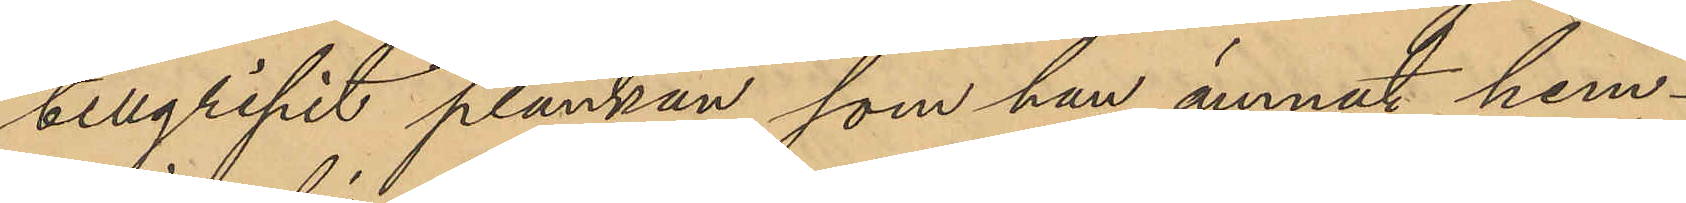tillgripit plankan, som han ämnat hem¬
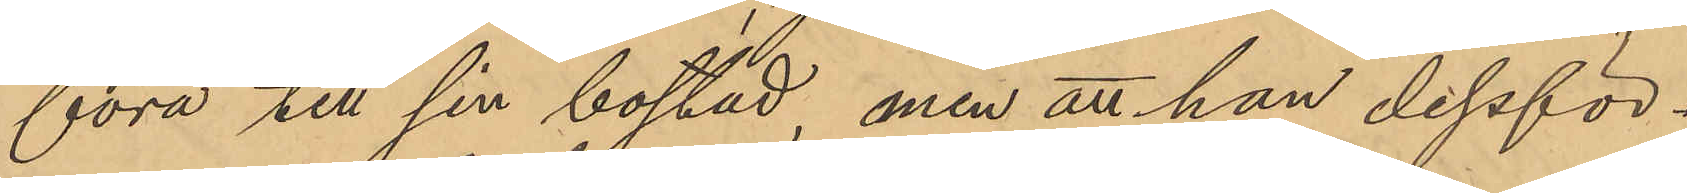föra till sin bostad, men att han dessför¬
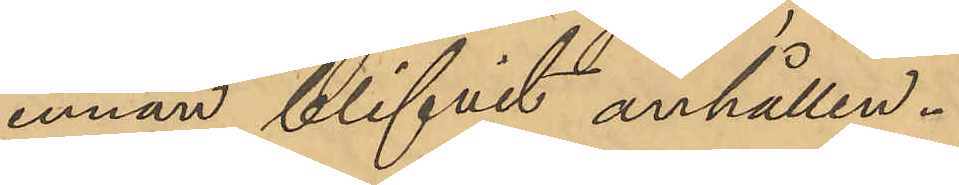innan blifvit anhållen.
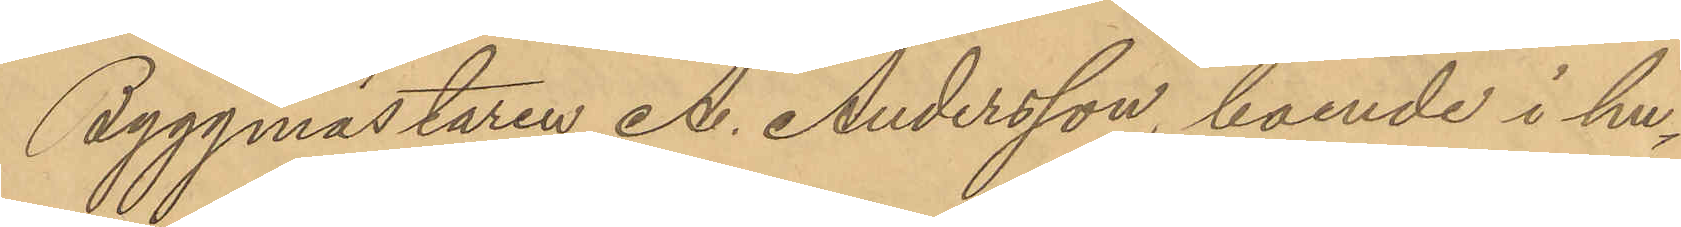Byggmästaren A. Andersson, boende i hu¬
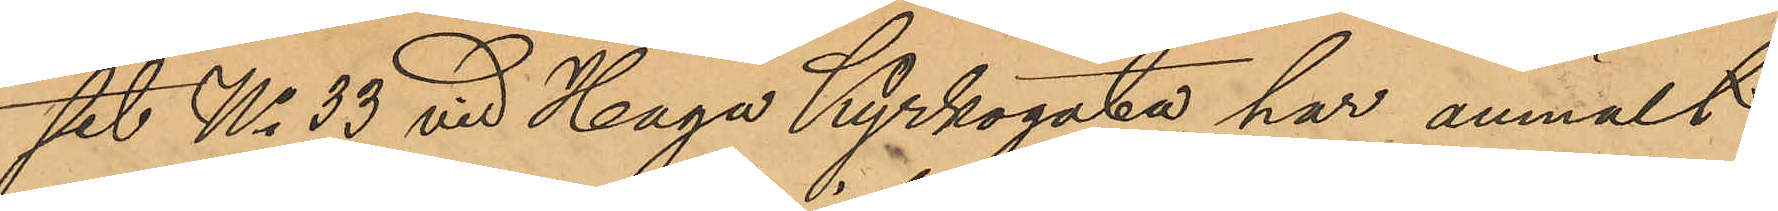set No 33 vid Haga Kyrkogata, har anmält
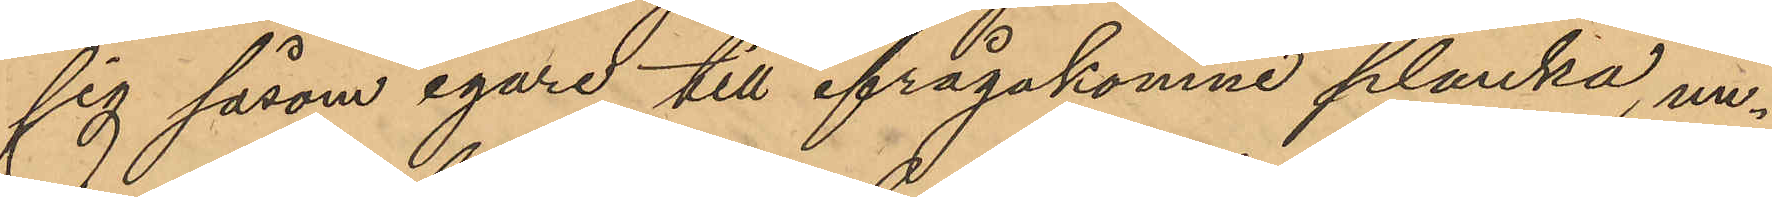sig såsom egare till ifrågakomne planka, un¬
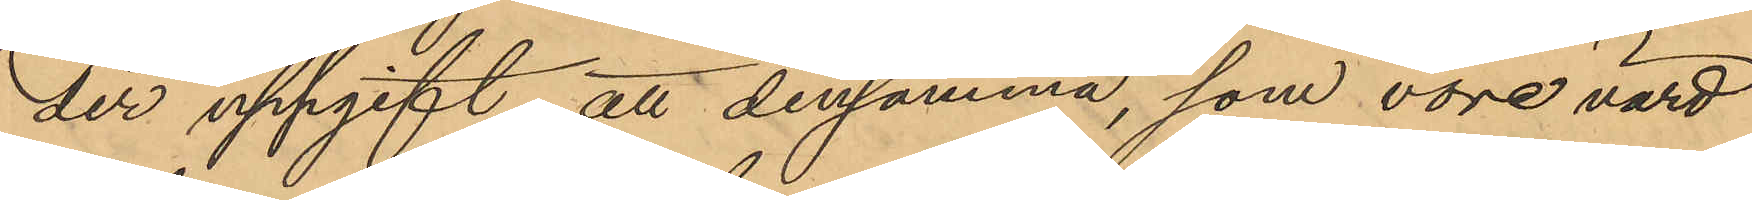der uppgift att densamma, som vore värd
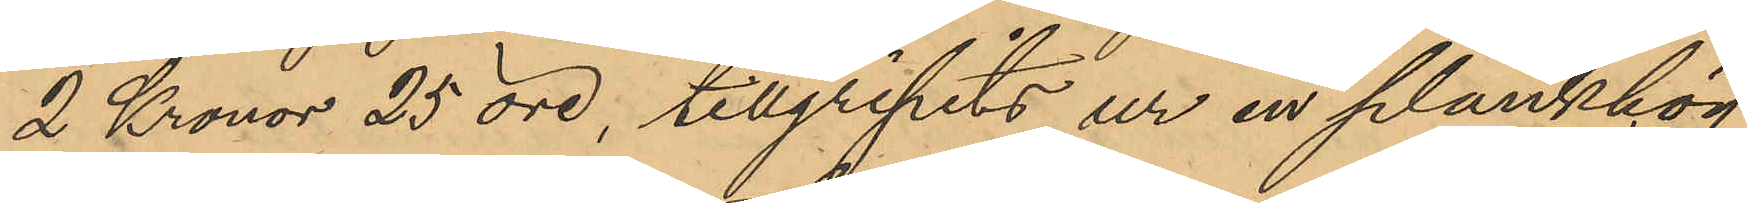2 Kronor 25 öre, tillgripits ur en plankhög
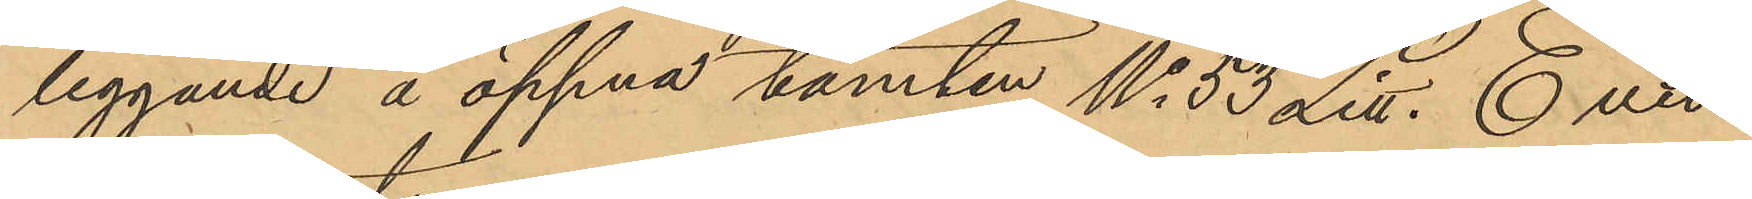liggande å öppna tomten No 53 Litt. E vid
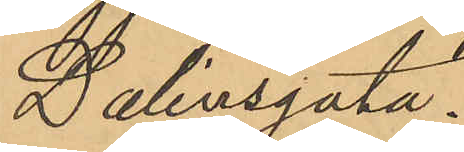Dalinsgata.
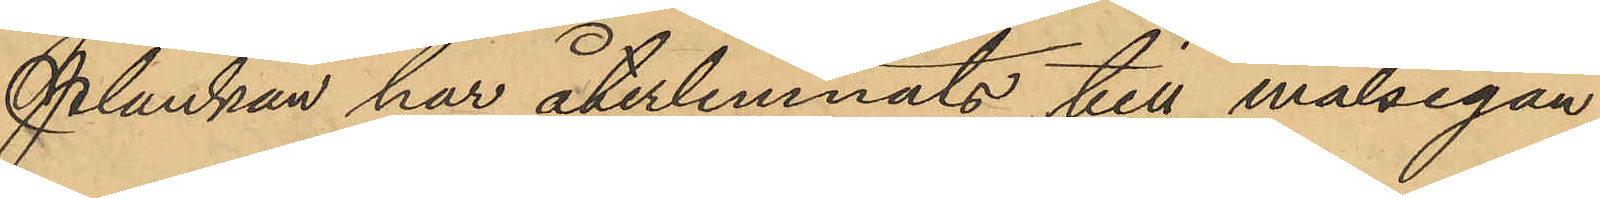Plankan har återlemnats till målsegan¬
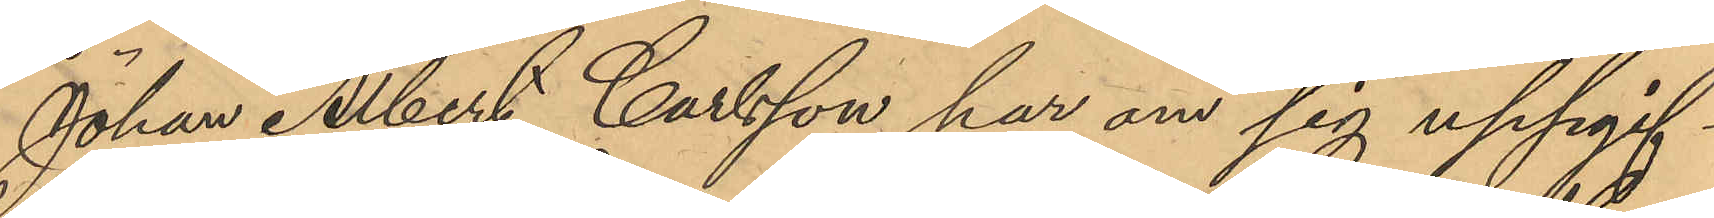Johan Albert Carlsson har om sig uppgif¬
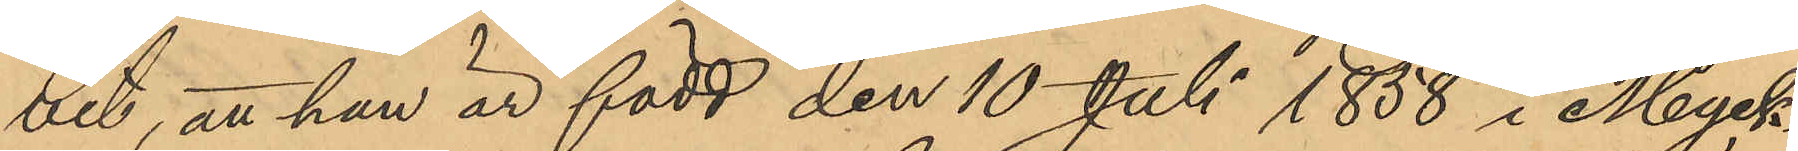vet, att han är född den 10 Juli 1858 i Myck¬
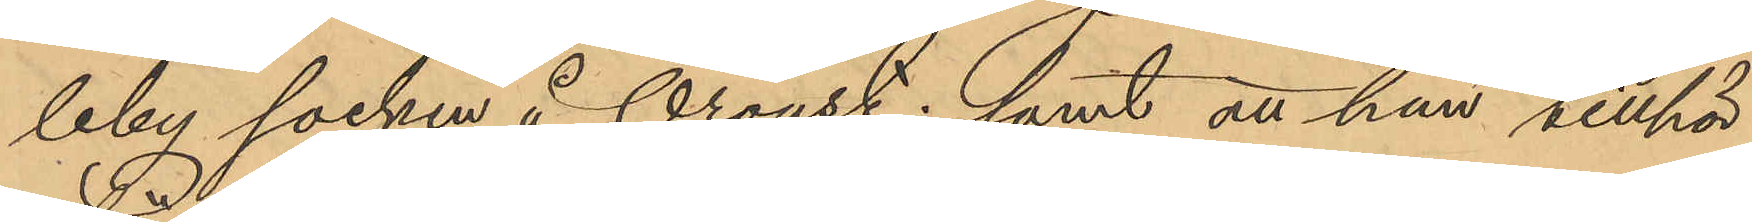leby socken å Oroust; samt att han tillhör
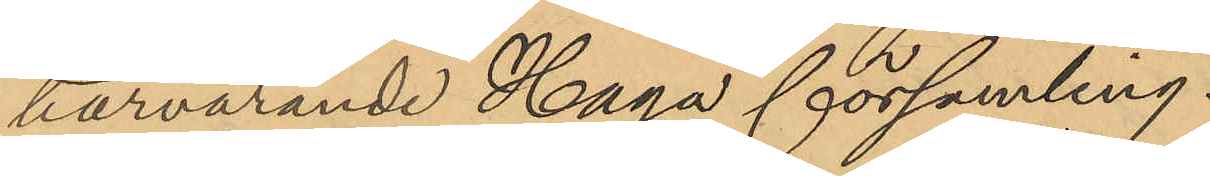närvarande Haga församling.
